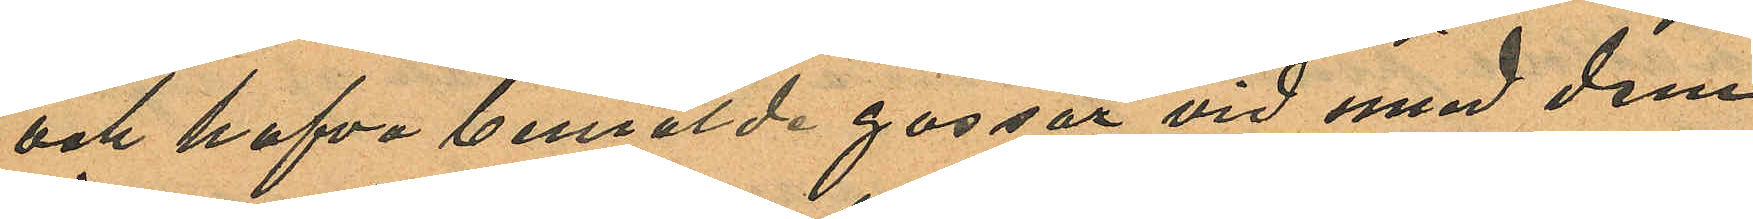och hafva bemälde gossar vid med dem
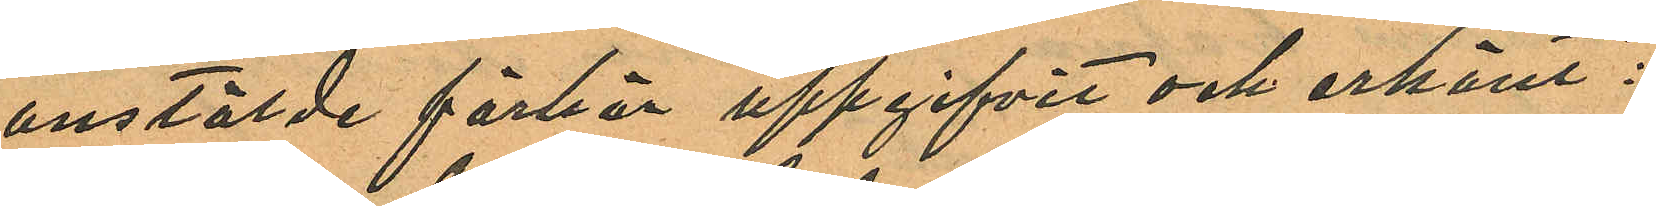anstälde förhör uppgifvit och erkänt:
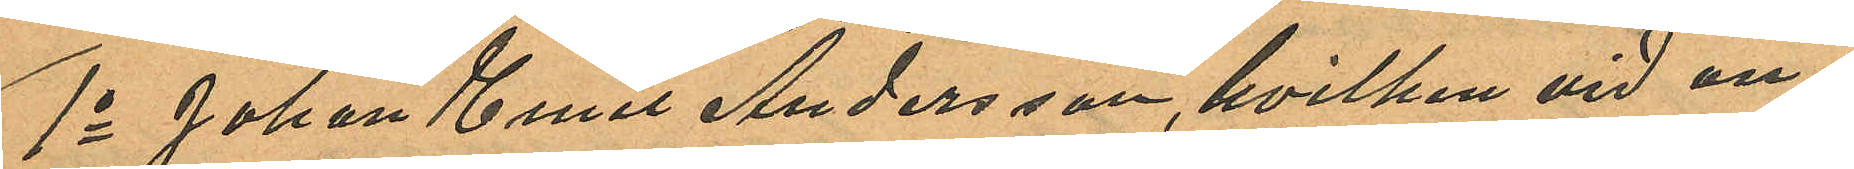1o Johan Emil Andersson, hvilken vid an¬
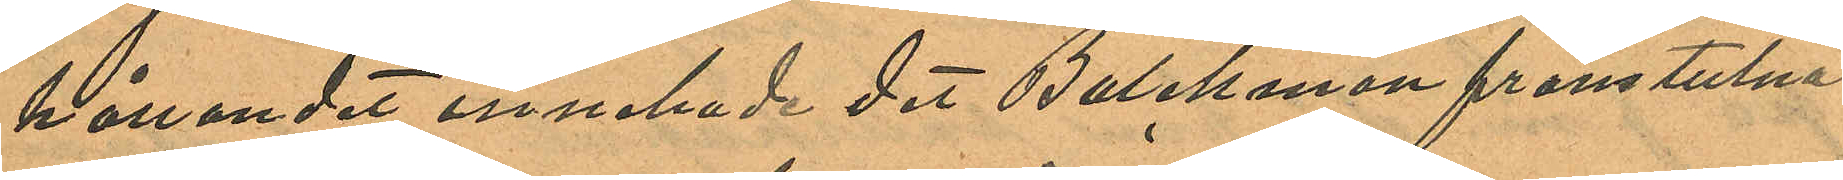hållandet innehade det Balekman frånstulna
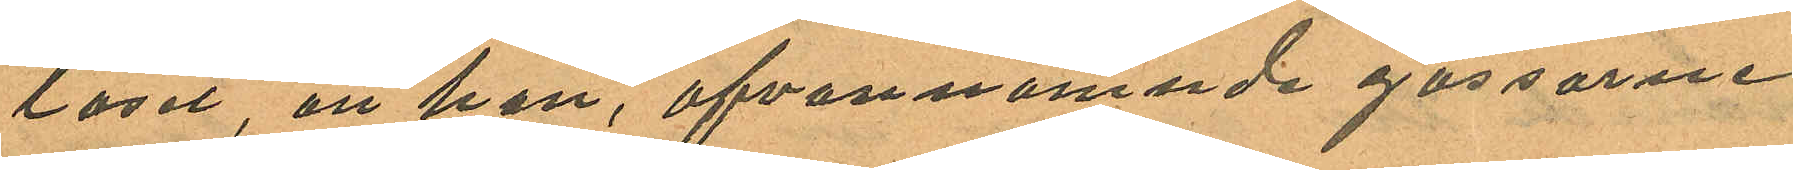låset, att han, ofvannämnde gossarne
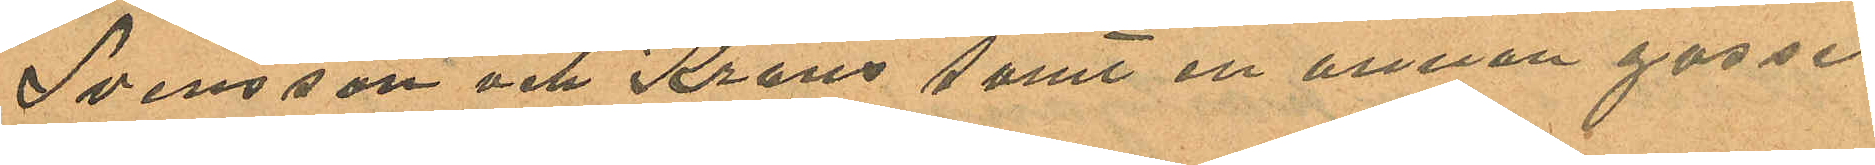Svensson och Krans samt en annan gosse
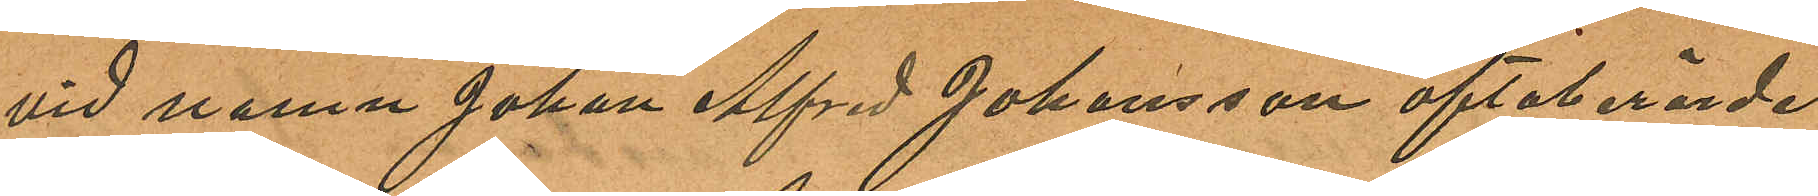vid namn Johan Alfred Johansson oftaberörde
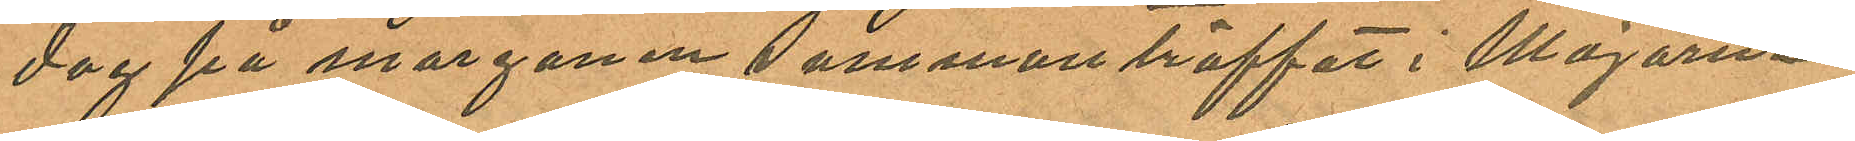dag på morgonen sammanträffat i Majorna
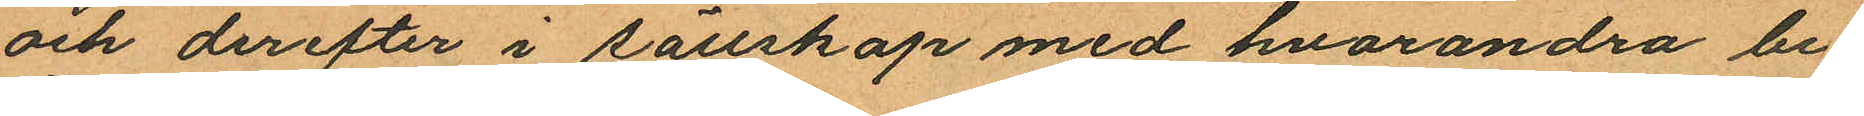och derefter i sällskap med hvarandra be¬
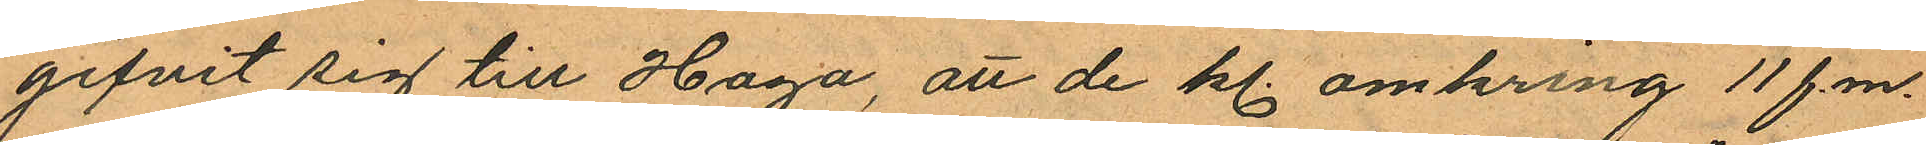gifvit sig till Haga, att de kl. omkring 11 f.m.
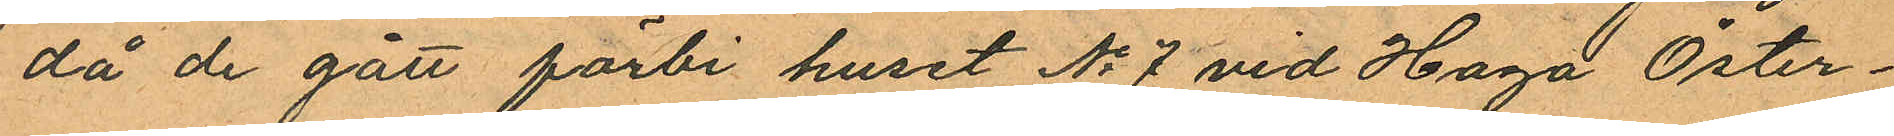då de gått förbi huset No 7 vid Haga Öster¬
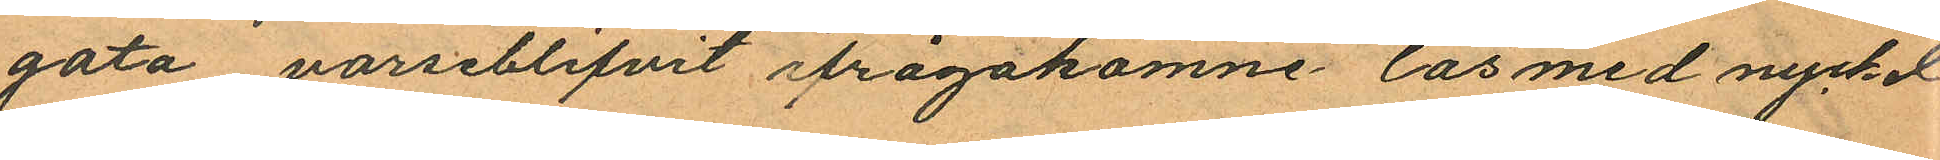gata varseblifvit ifrågakomne lås med nyckel
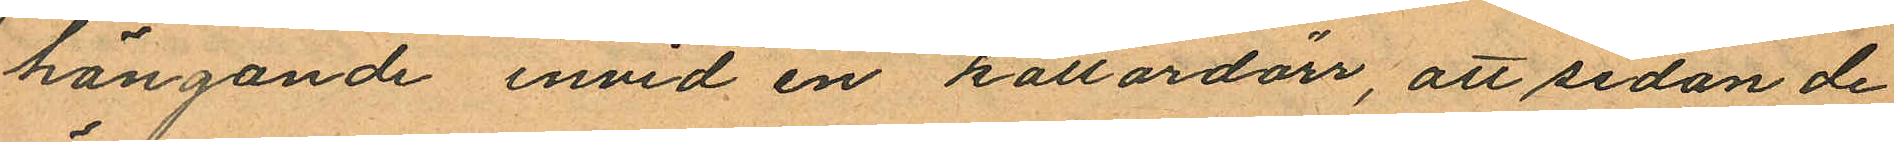hängande invid en källardörr, att sedan de
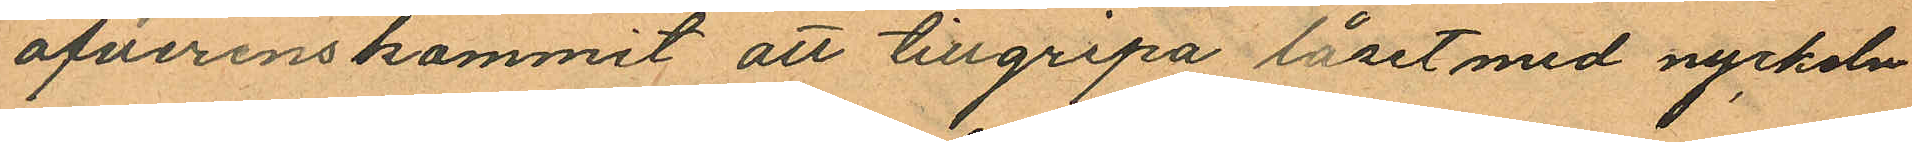öfverenskommit att tillgripa låset med nyckeln
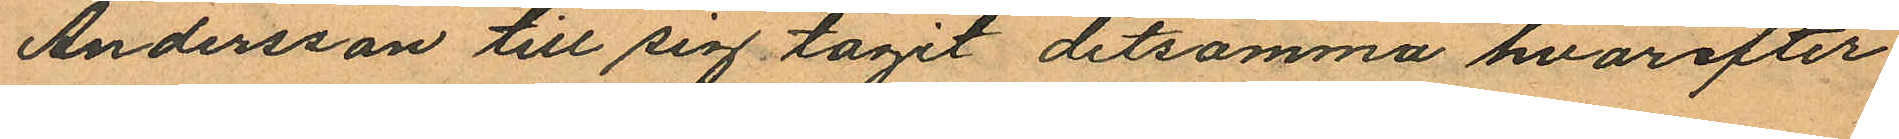Andersson till sig tagit detsamma hvarefter
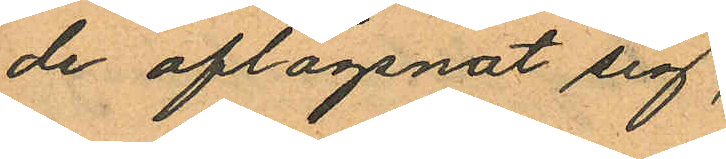de aflägsnat sig,
